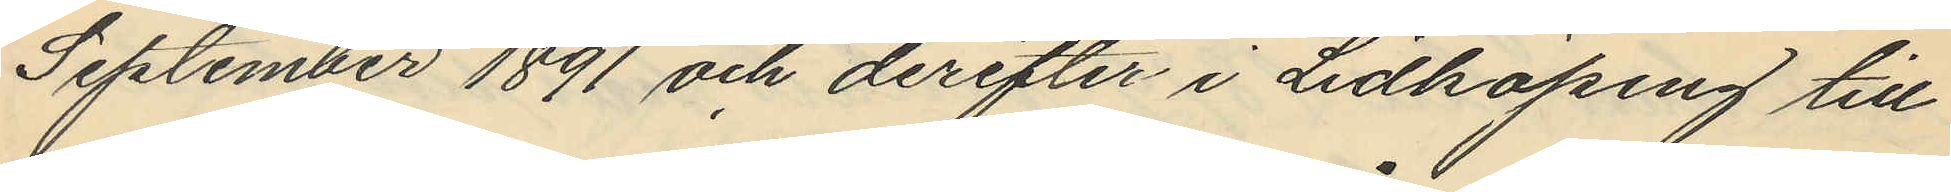September 1891 och derefter i Lidköping till
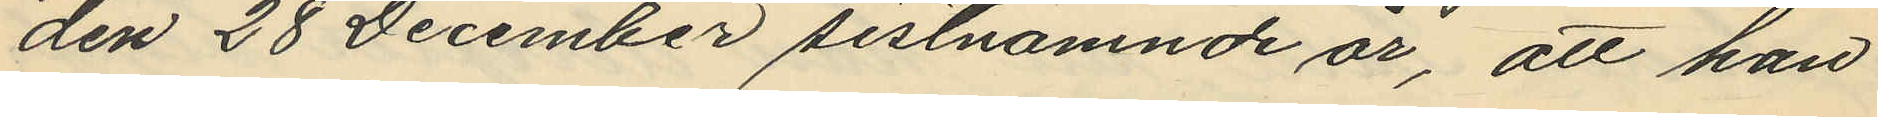den 28 December sistnämnde år, att han
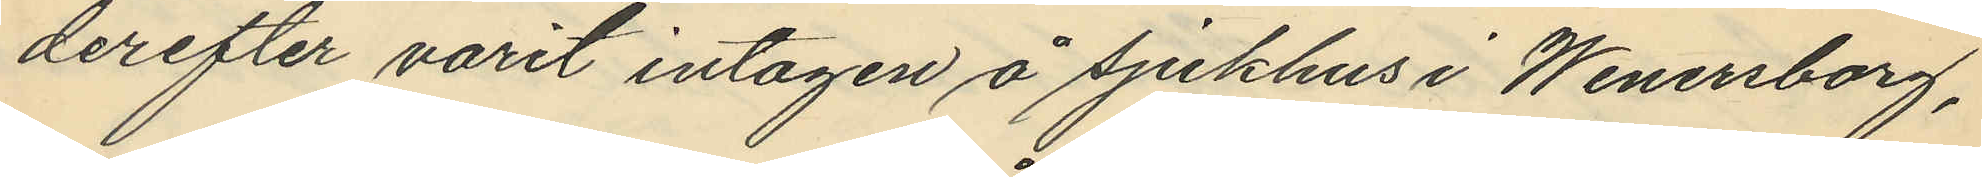derefter varit intagen å sjukhus i Wenersborg,
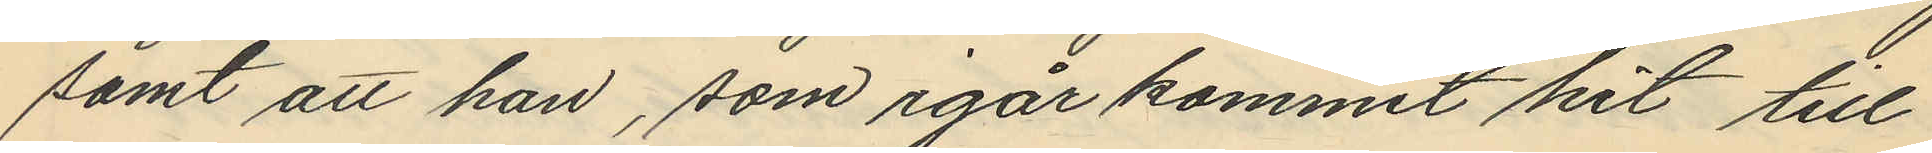samt att han, som igår kommit hit till
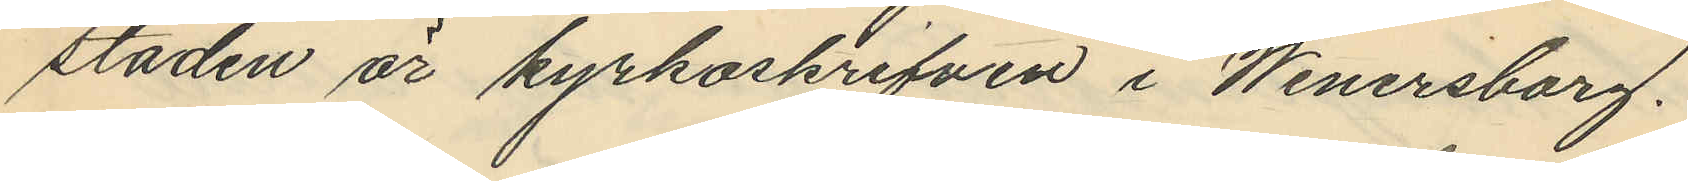staden är kyrkoskrifven i Wenersborg.
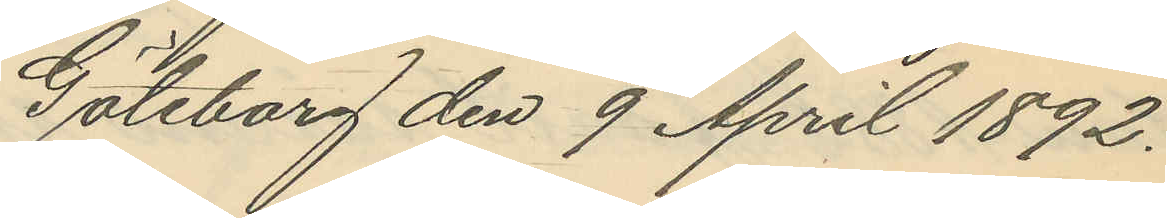Göteborg den 9 April 1892.
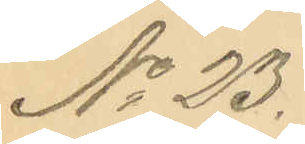No 23.
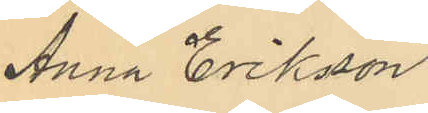Anna Eriksson
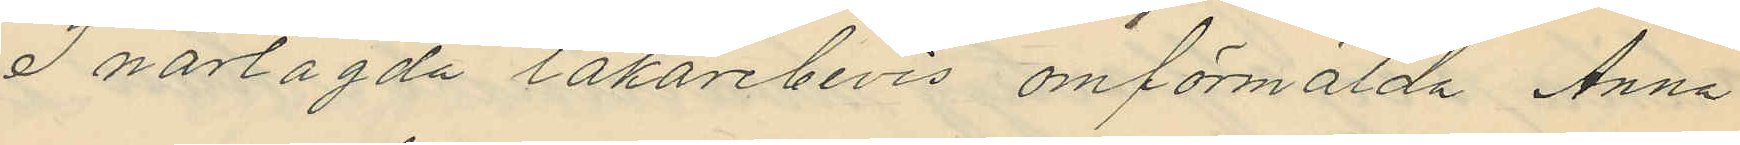I närlagda läkarebevis omförmälda Anna
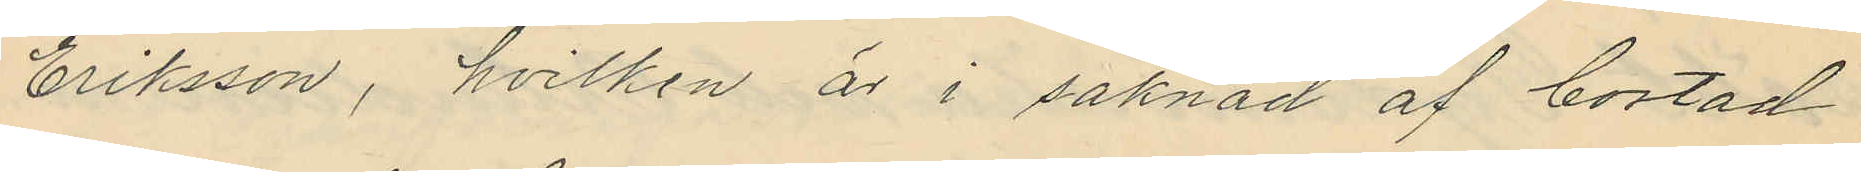Eriksson, hvilken är i saknad af bostad
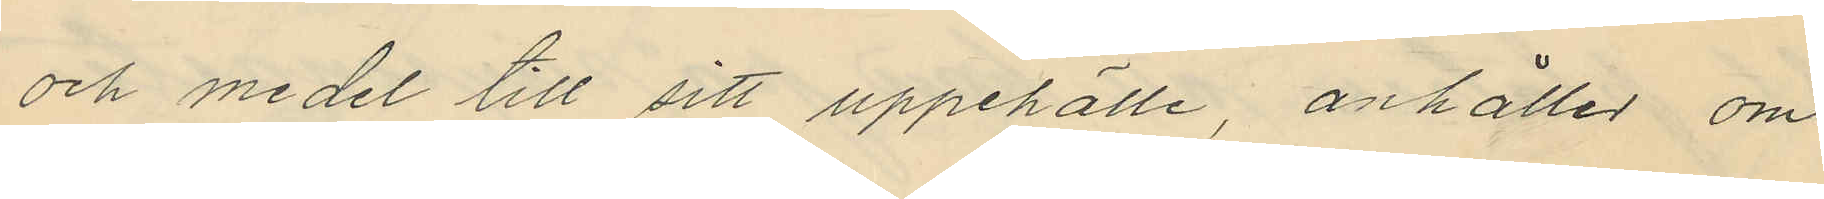och medel till sitt uppehälle, anhåller om
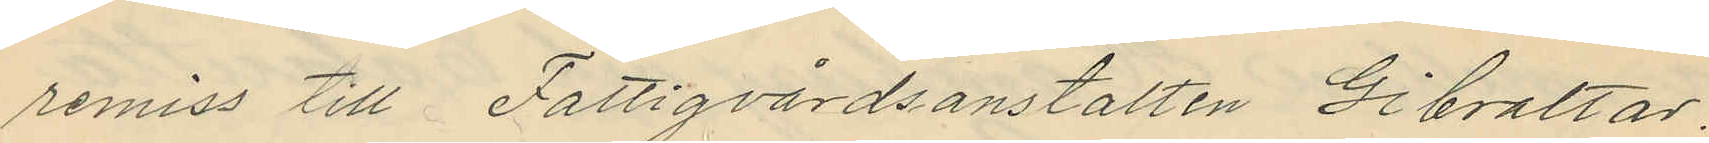remiss till Fattigvårdsanstalten Gibraltar.
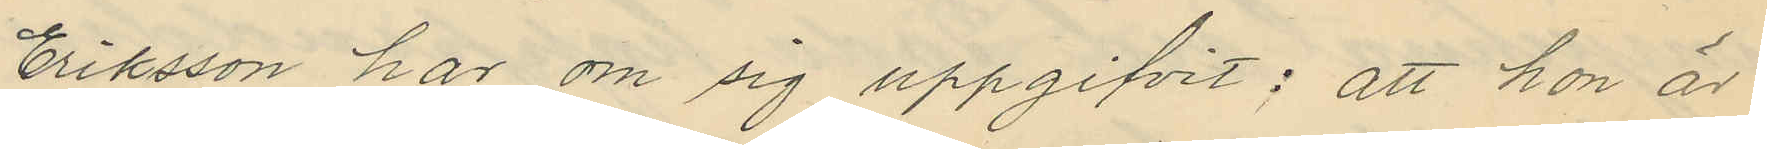Eriksson har om sig uppgifvit; att hon är
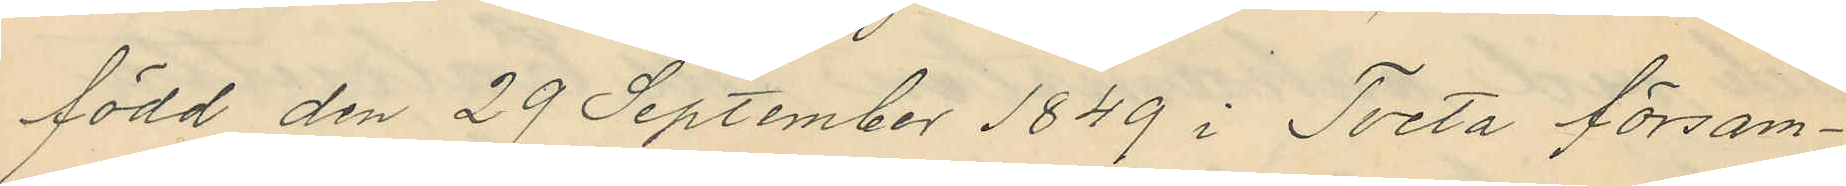född den 29 September 1849 i Tveta försam¬
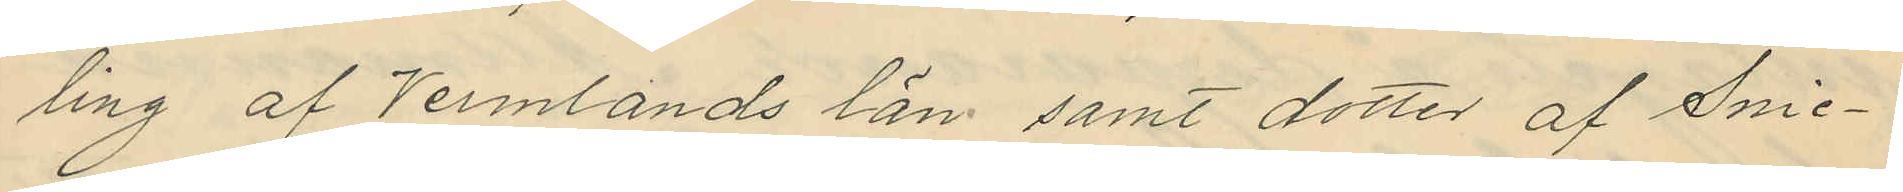ling af Vermlands län samt dotter af Snic¬
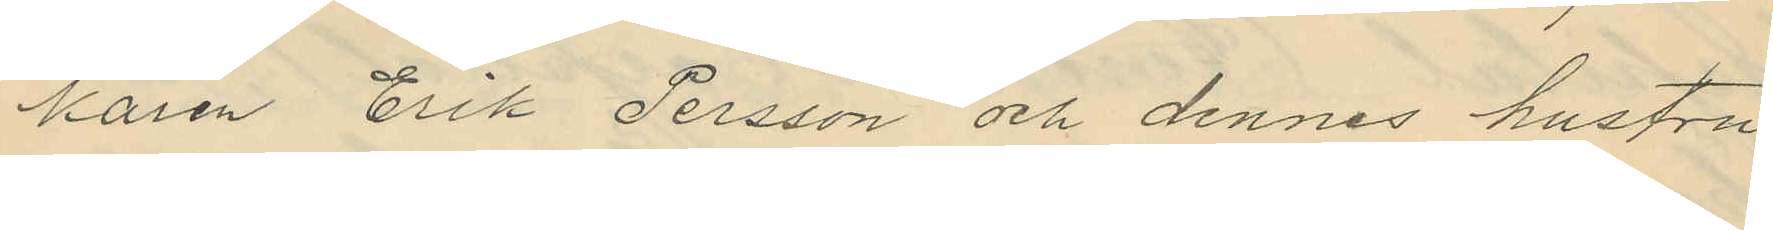karen Erik Persson och dennes hustru
